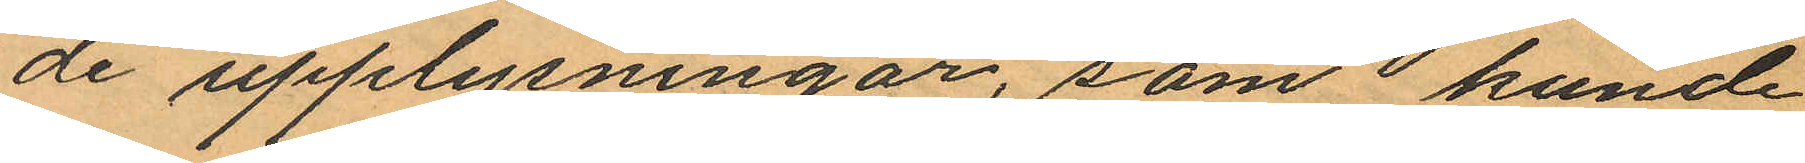de upplysningar, som kunde
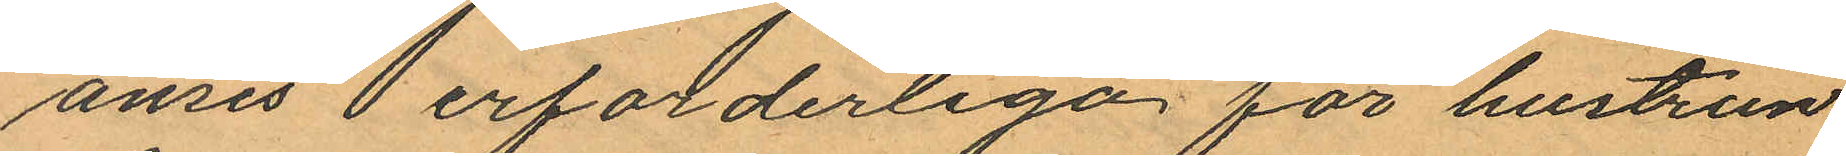anes  erforderliga för hustrun
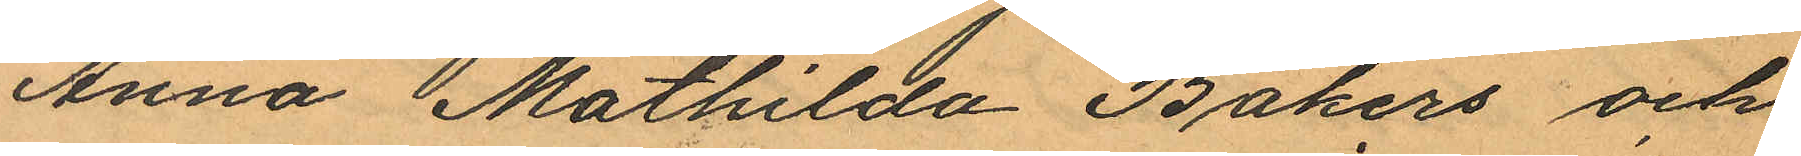Anna Mathilda Bakers och
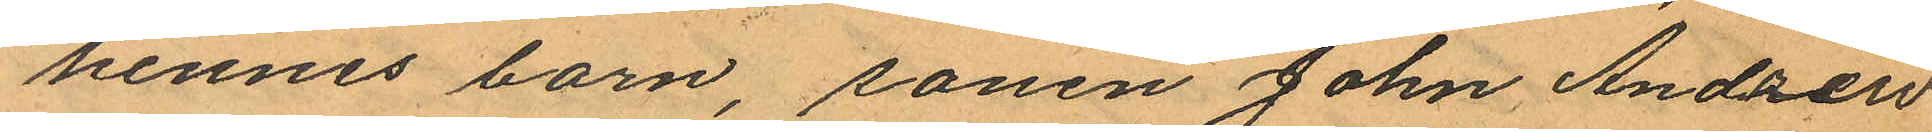hennes barn, sonen John Andrew
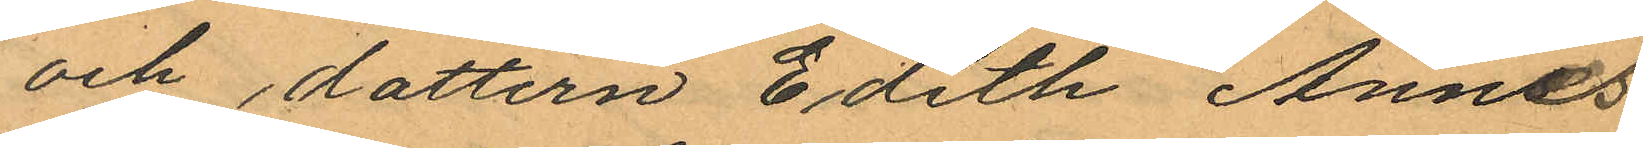och dottern Edith Annes
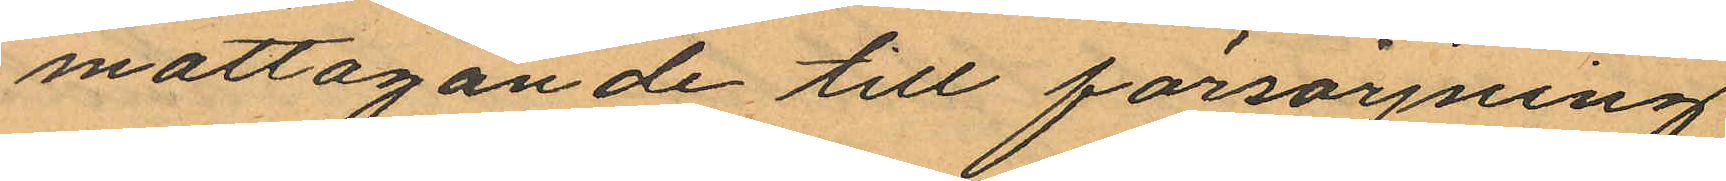mottagande till försörjning
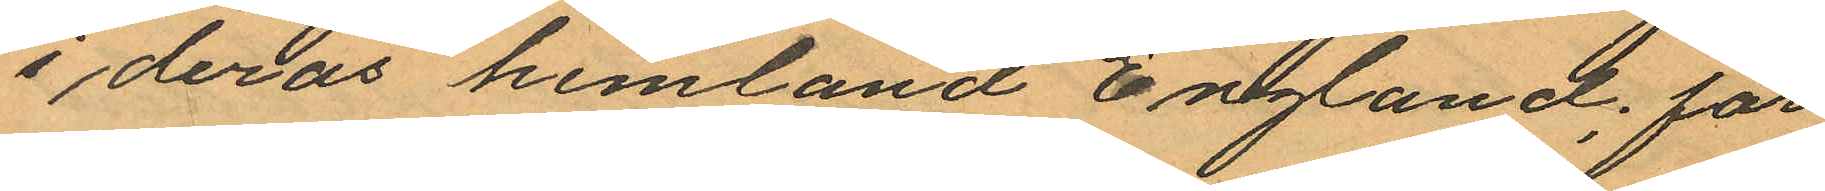i deras hemtand England; får
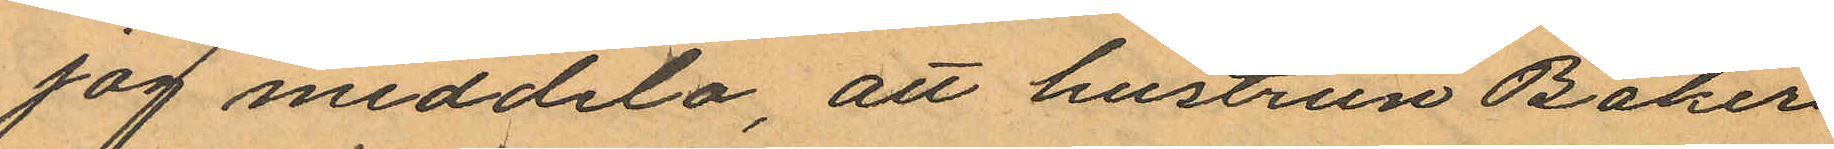jag meddela, att hustrun Baker
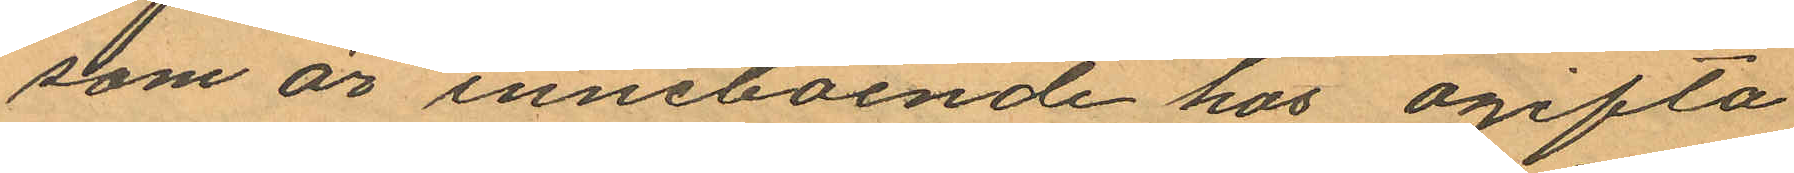som är inneboende hos ogifta
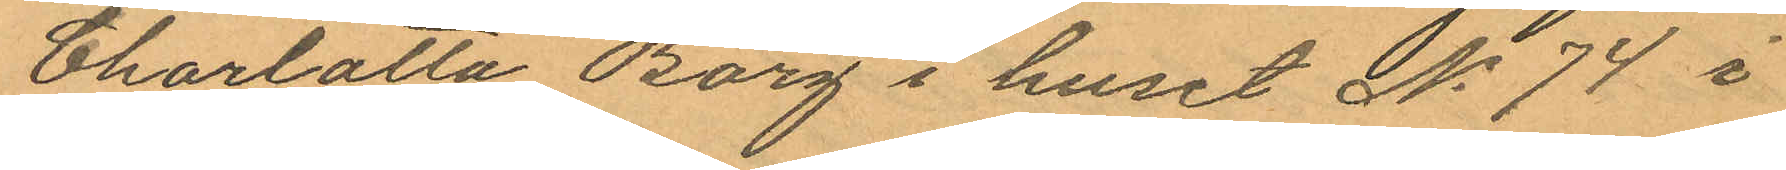Charlotta Borg i huset No 74 i
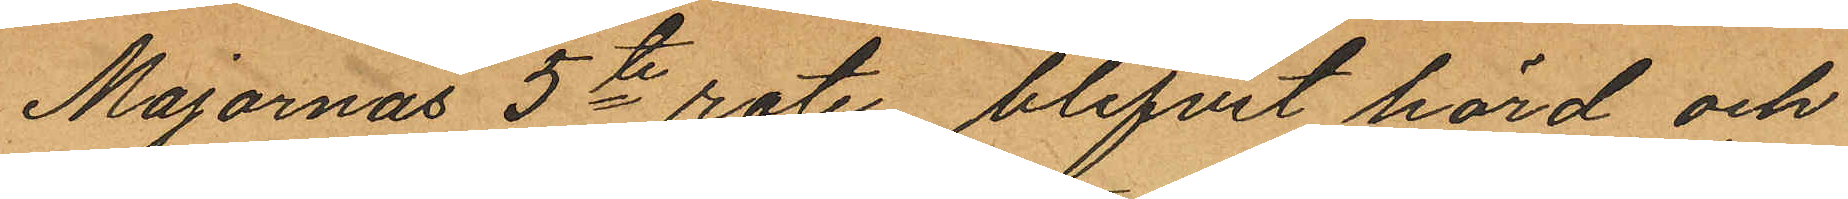Majornas 5te rote, blifvit hörd och
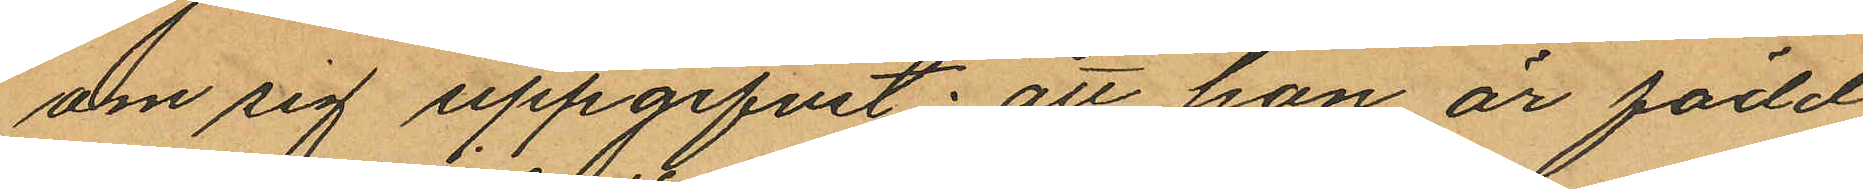om sig uppgifvit: att hon är född
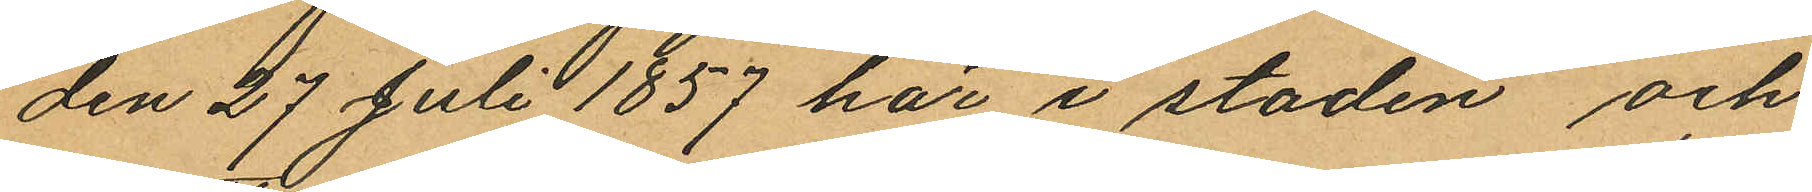den 27 Juli 1857 här i staden och
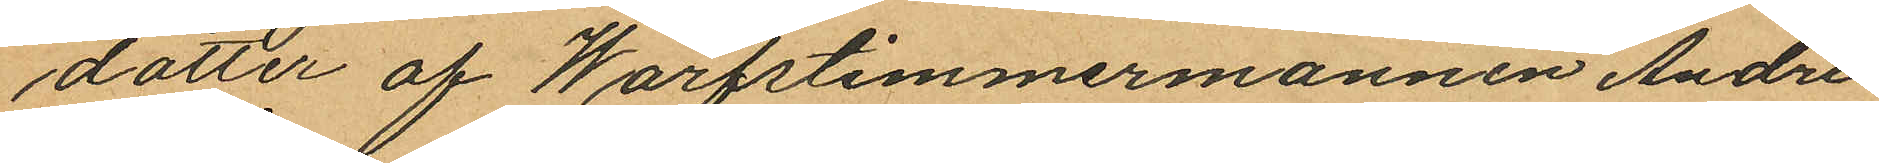dotter af Warfstimmermannen Andre¬
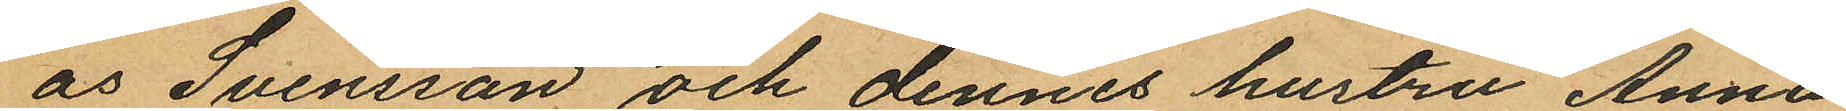as Svensson och dennes hustru Anna
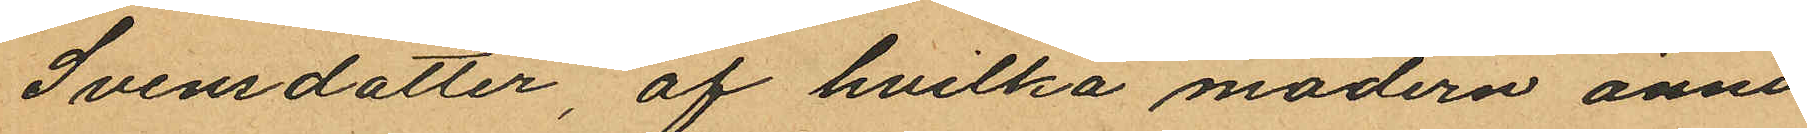Svensdotter, af hvilka modern ännu
